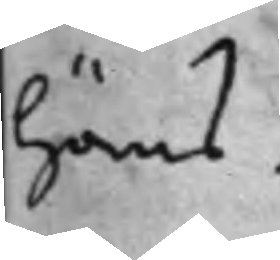höras.
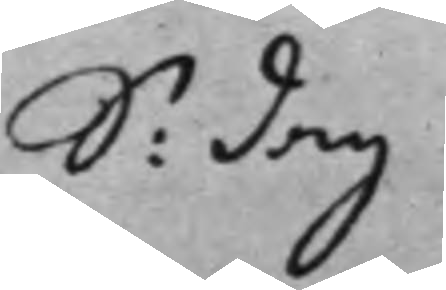S: dag 
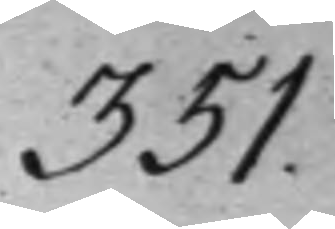351.
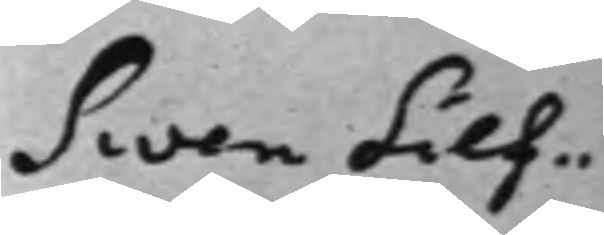Swen Silf¬
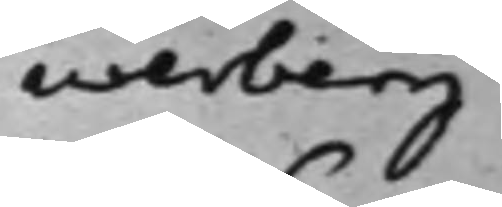werberg
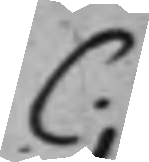C.
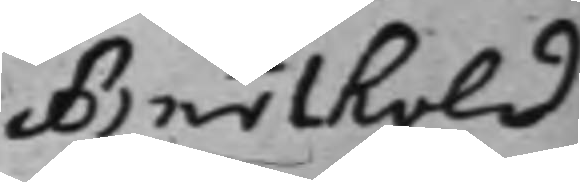Barthold
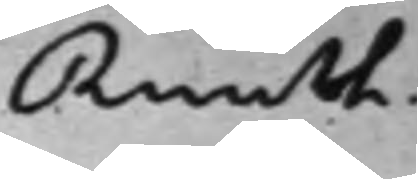Ruuth.
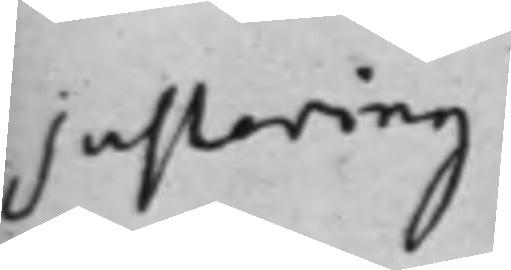Justering
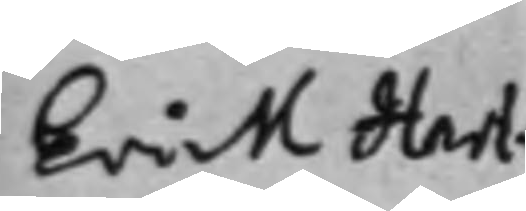Erick Hart¬
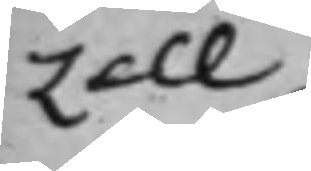zell
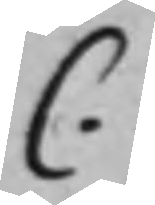C.
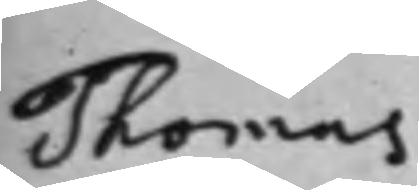Thomas
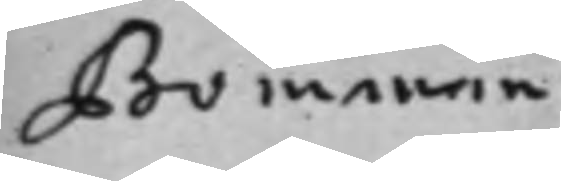Bomman
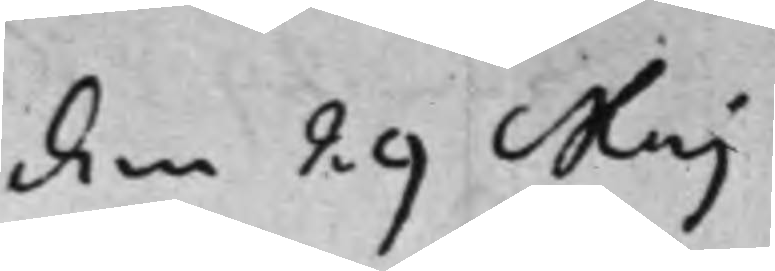den 29 Maj
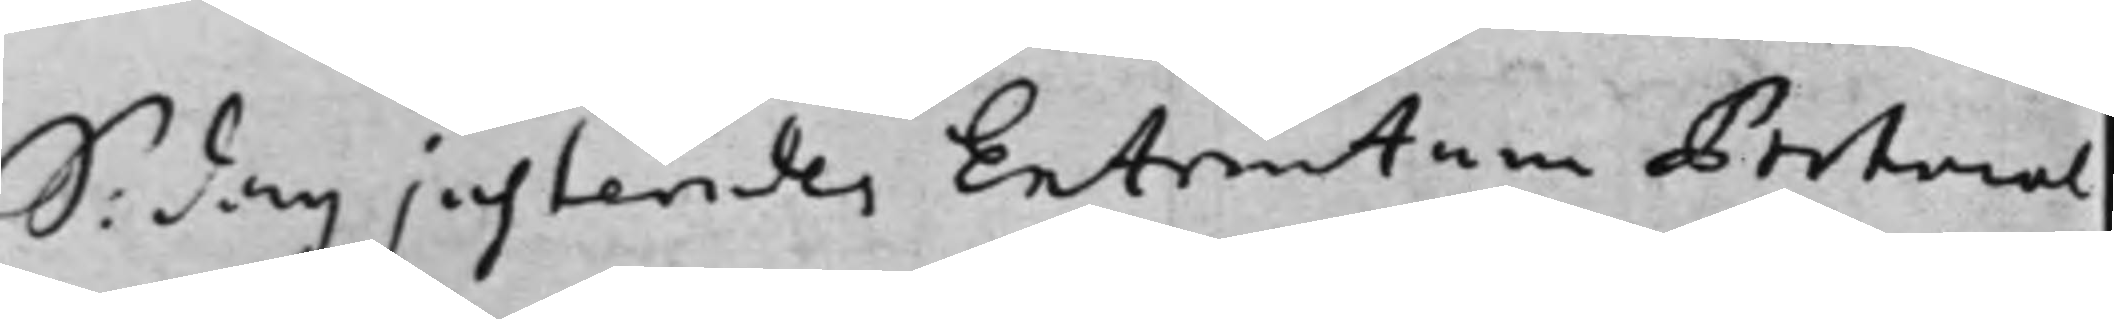S: dag justerades Extrantum Potocol¬ 
